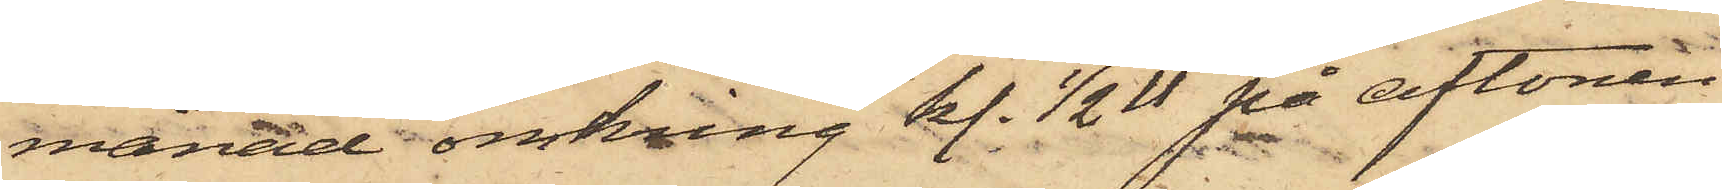månad omkring kl. 1/2 11 på aftonen
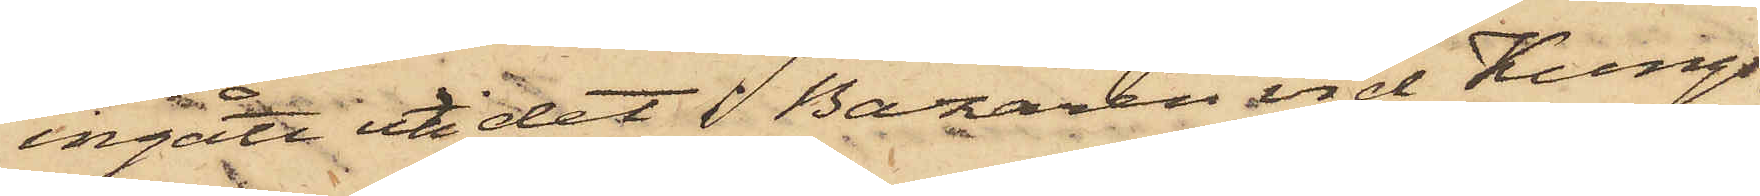ingått uti det i Bazaren vid Kungs¬
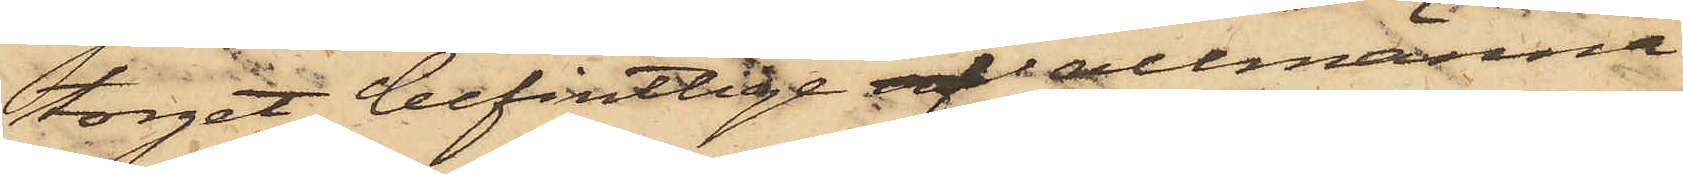torget befintlige af allmänna
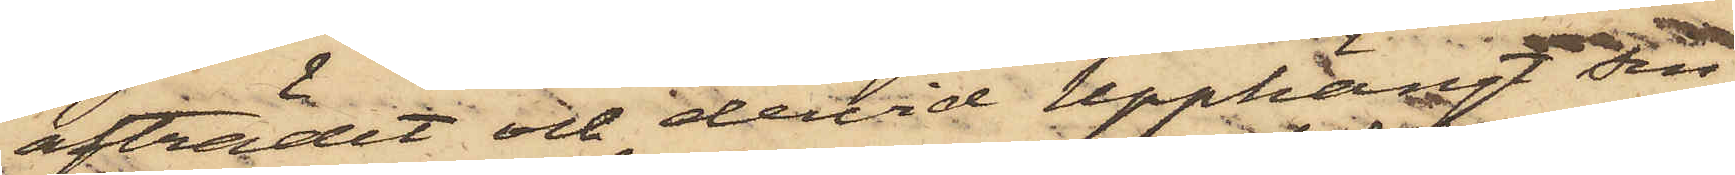afträdet och dervid upphängt sin
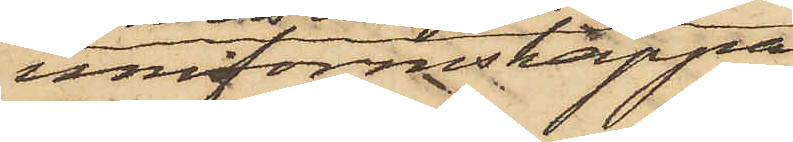uniformskappa
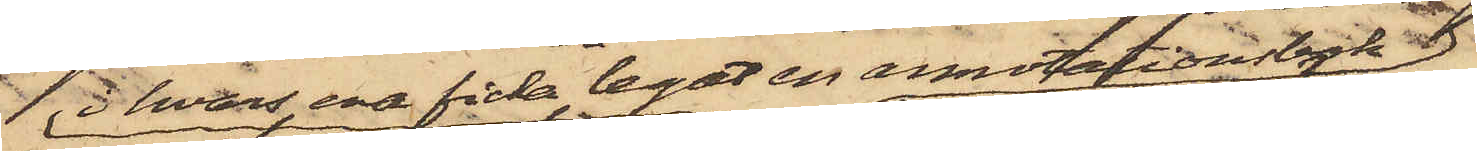i hvars ena ficka legat en annotationsbok 
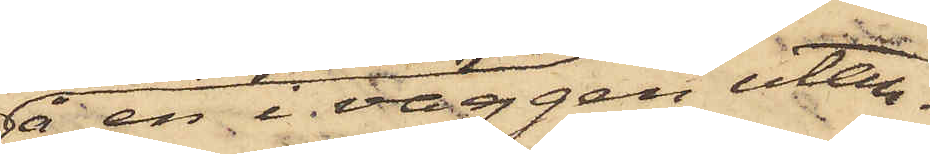å en i väggen utan¬
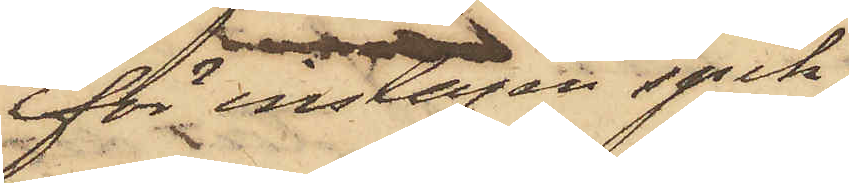för inslagen spik,
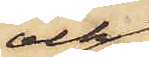och
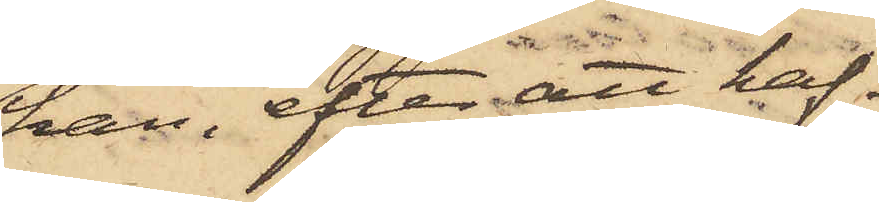han, efter att haf¬
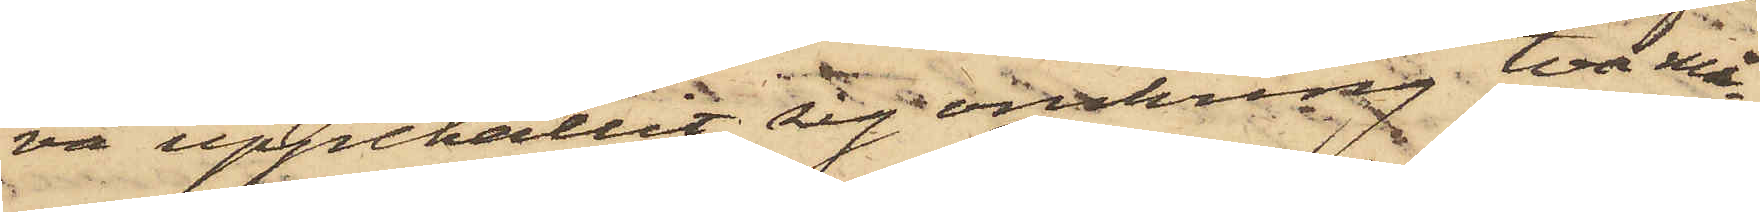va uppehållit sig omkring två mi¬
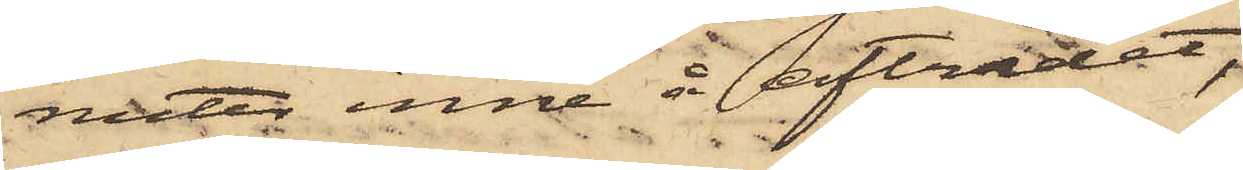nuter inne å afträdet,
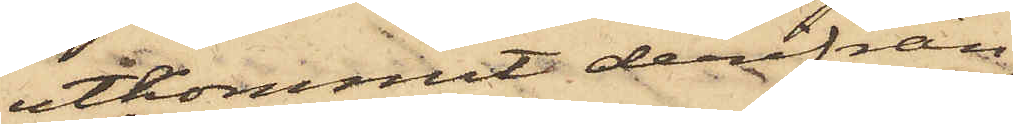utkommit derifrån,
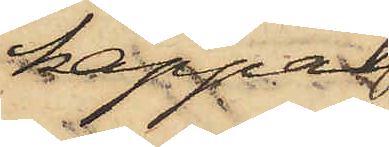kappan
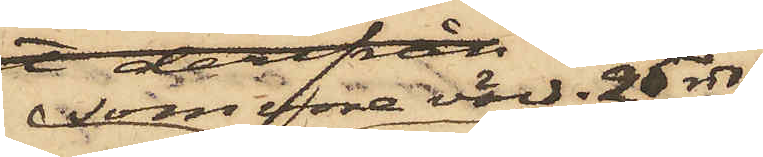som vore värd 25 rdr
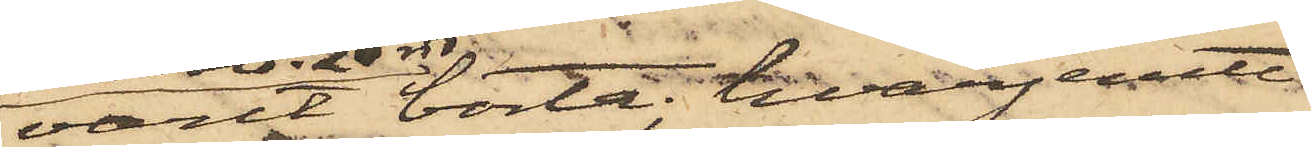varit borta; hvarjemte
